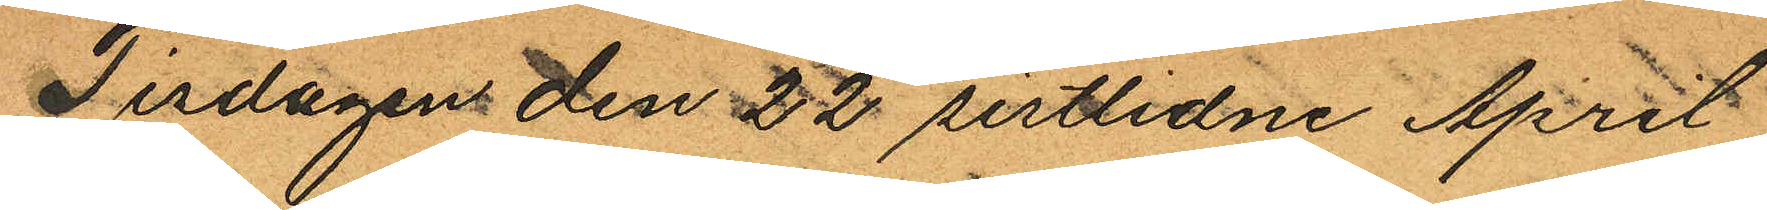Tisdagen den 22 sistlidne April
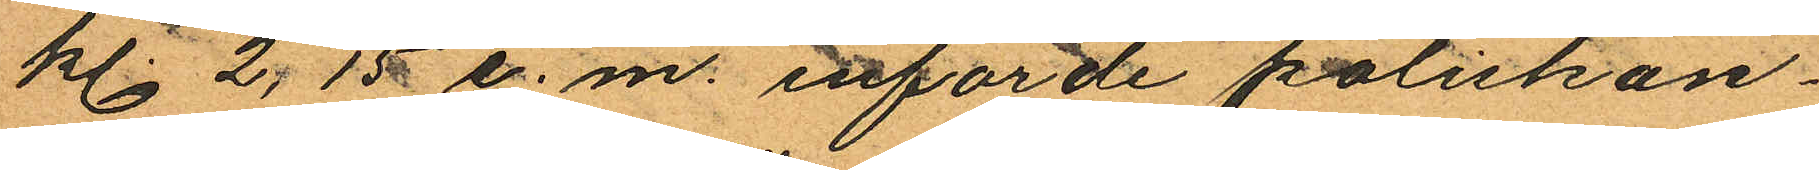kl. 2,15 e.m. införde poliskon¬
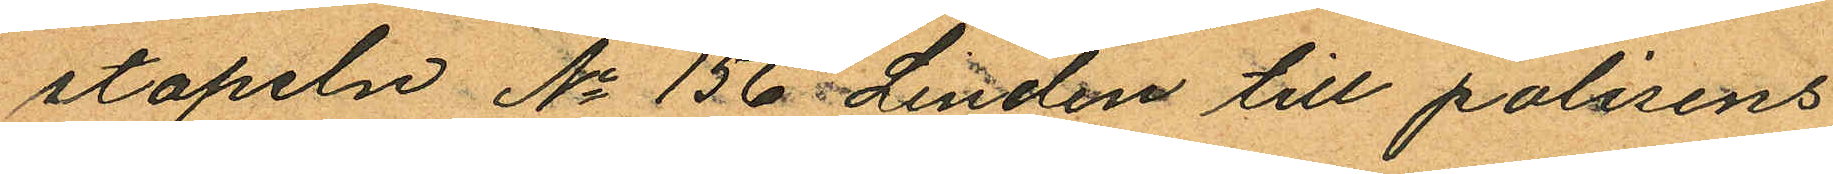stapeln No 156 Lindén till polisens
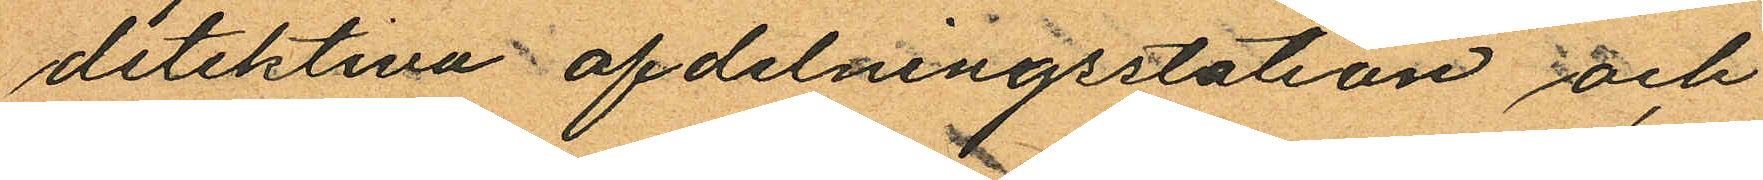detektiva afdelningsstation och
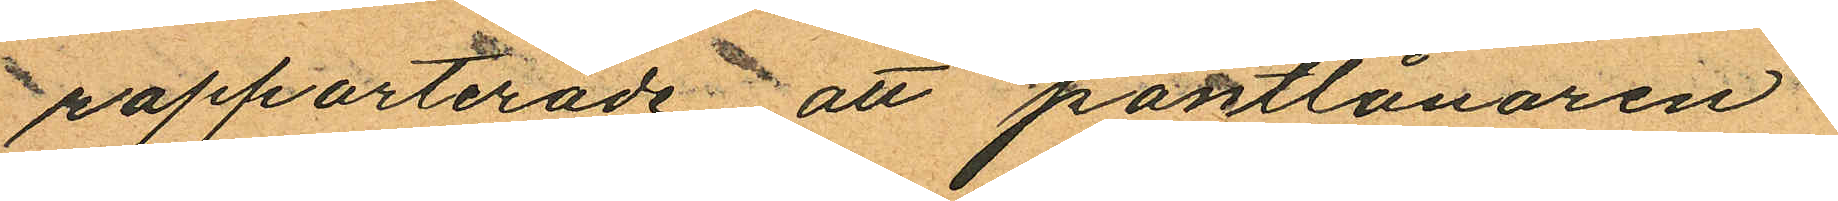rapporterade att pantlånaren
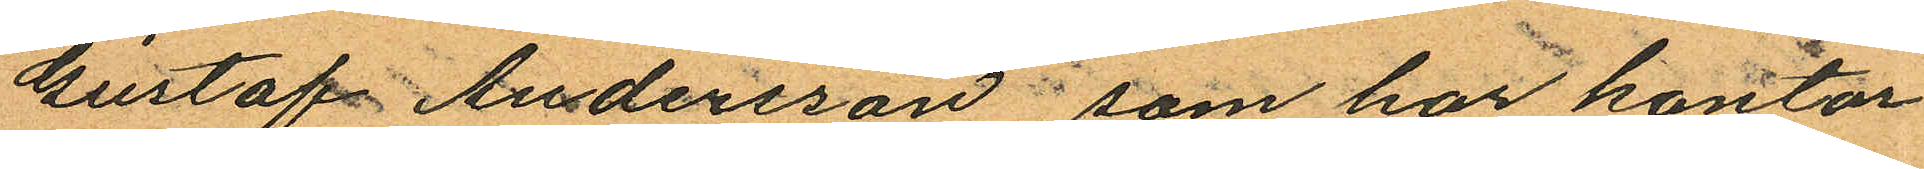Gustaf Andersson, som har kontor
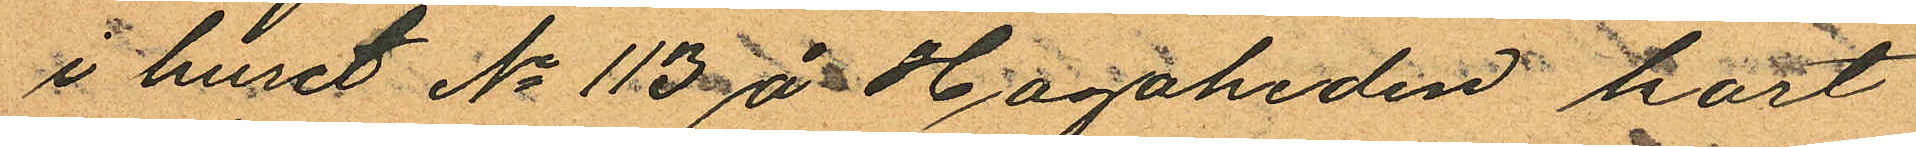i huset No 113 å Hagaheden kort
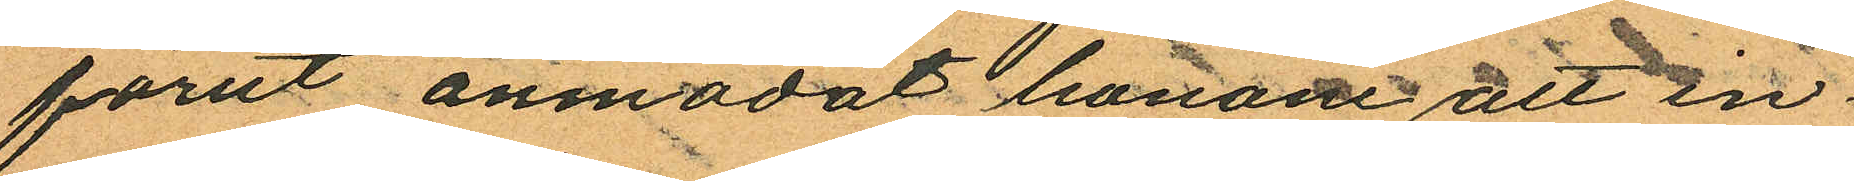förut anmodat honom att in¬
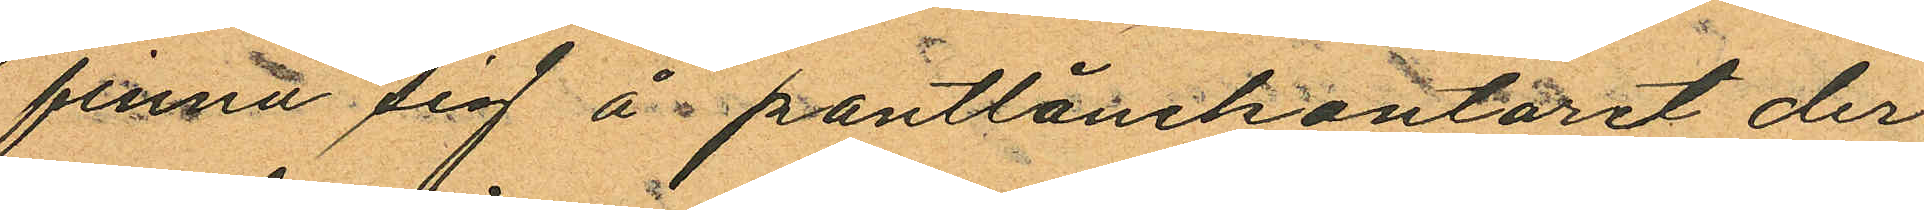finna sig å pantlånekontoret der
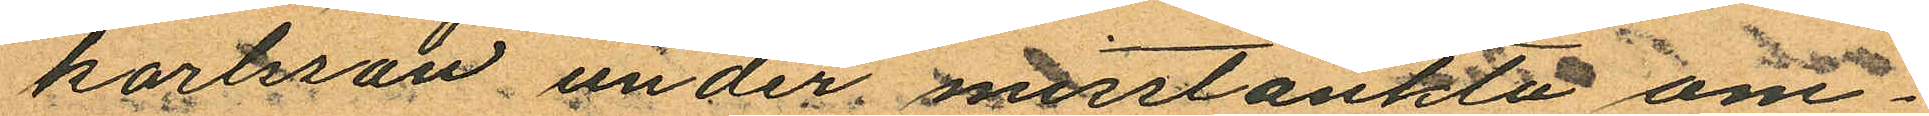Karlsson under misstänkte om¬
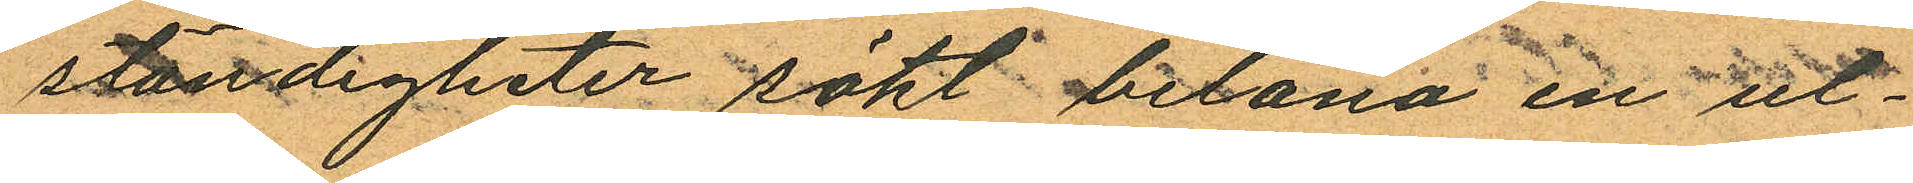ständigheter sökt belåna en ul¬
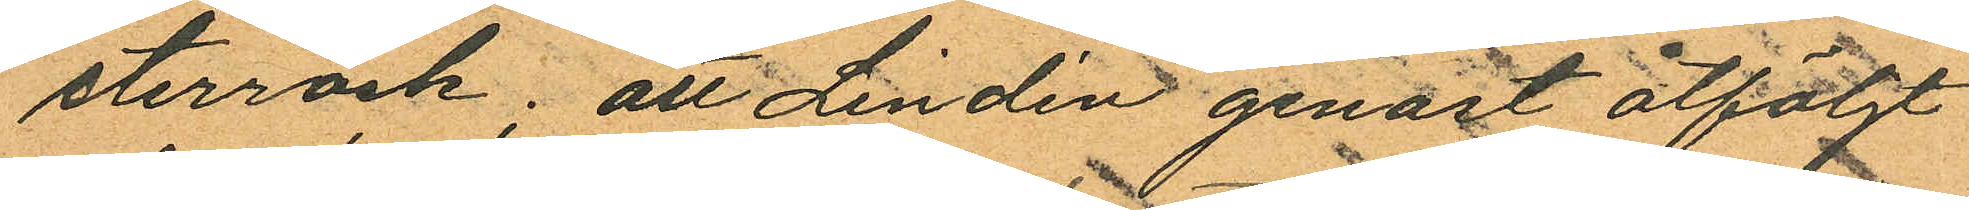sterrock; att Lindén genast åtföljt
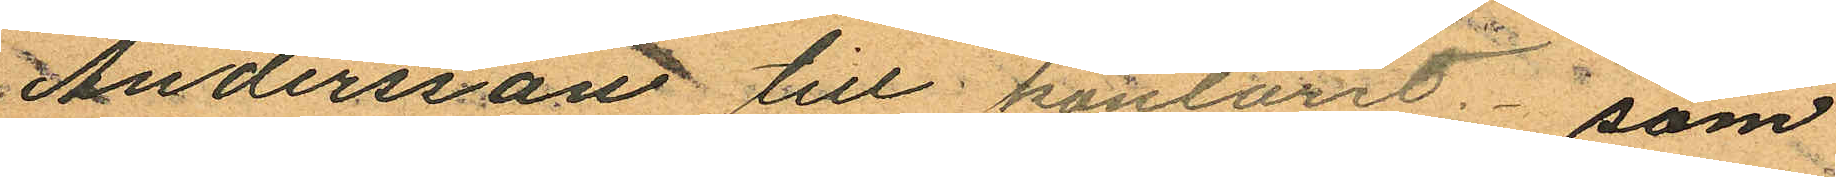Andersson till kontoret, som
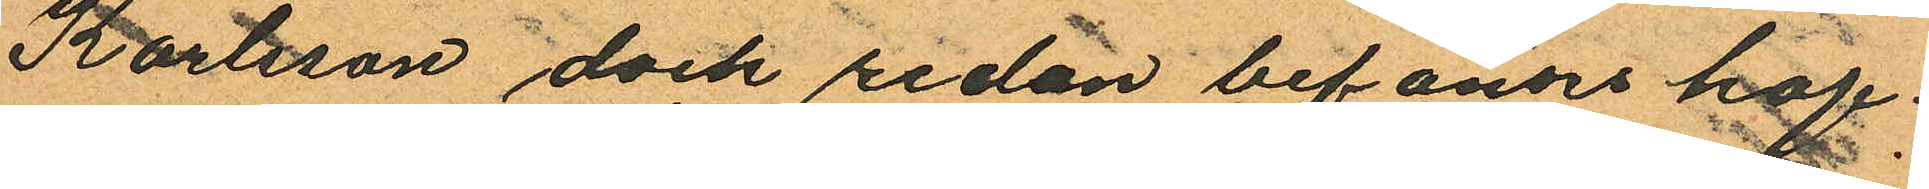Kartsson dock redan befanns haf¬
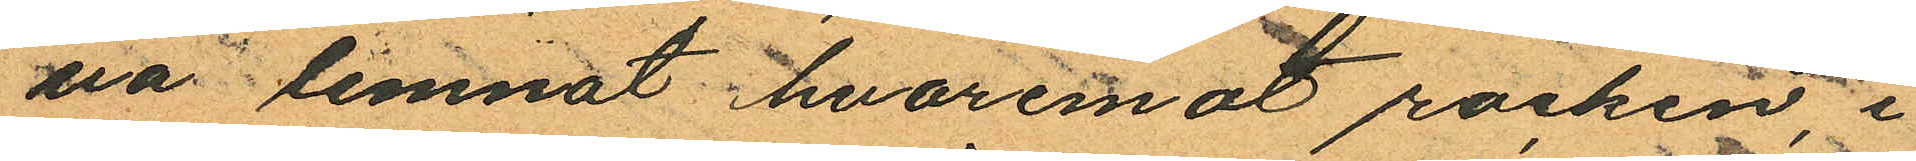va lemnat, hvaremot rocken i
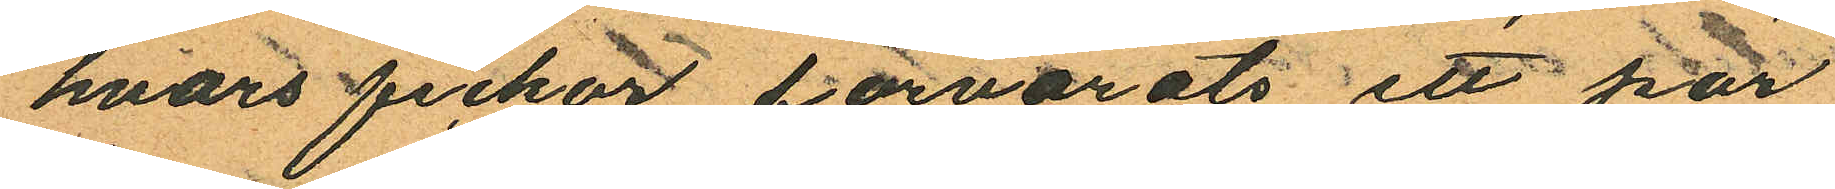hvars fickor förvarats ett par
